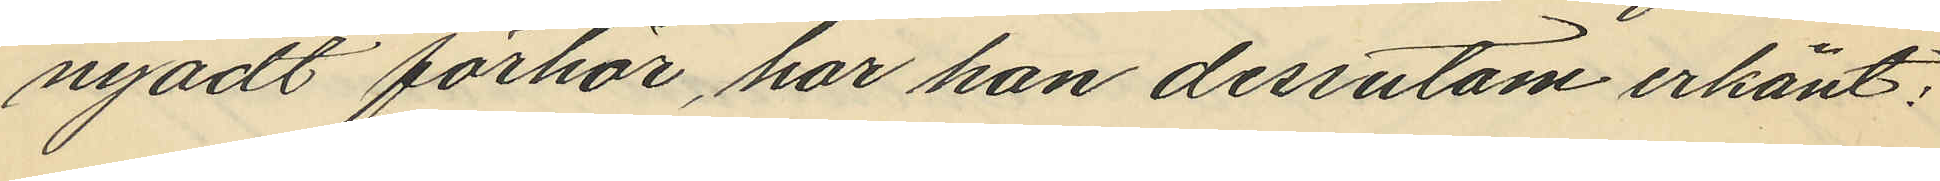nyadt förhör, har han dessutom erkänt;
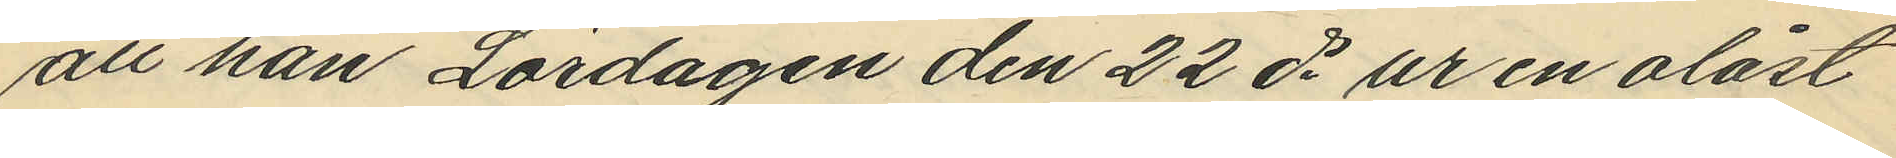att han Lördagen den 22 ds ur en olåst
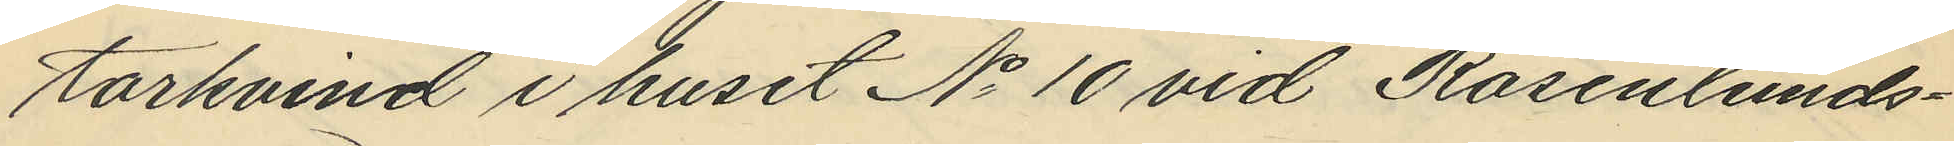torkvind i huset No 10 vid Rosenlunds¬
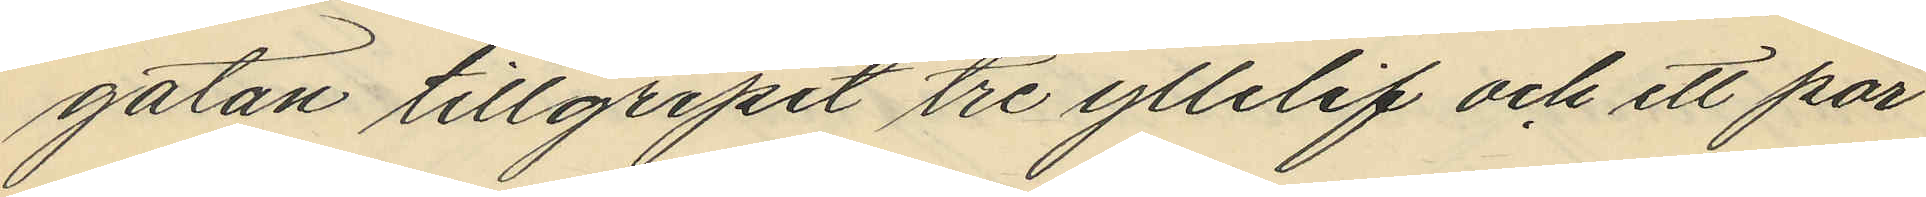gatan tillgripit tre yllelif och ett par
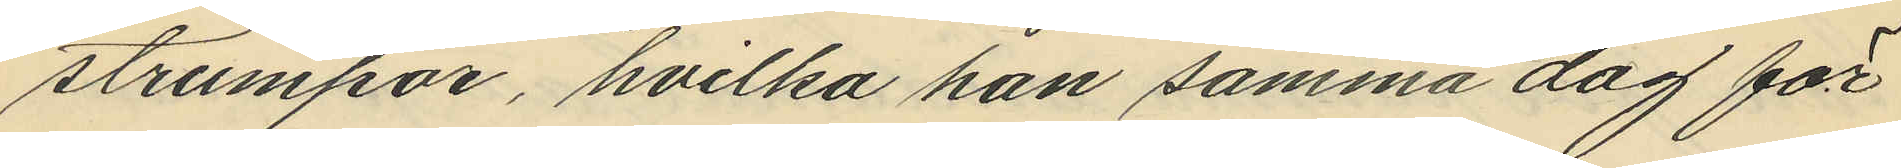strumpor, hvilka han samma dag för
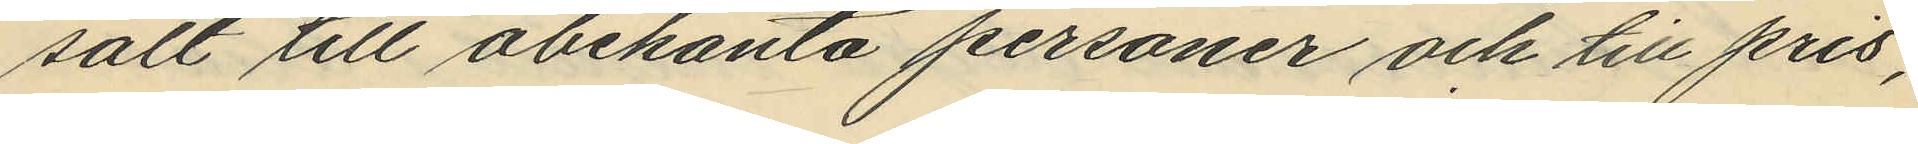sålt till obekanta personer och till pris,
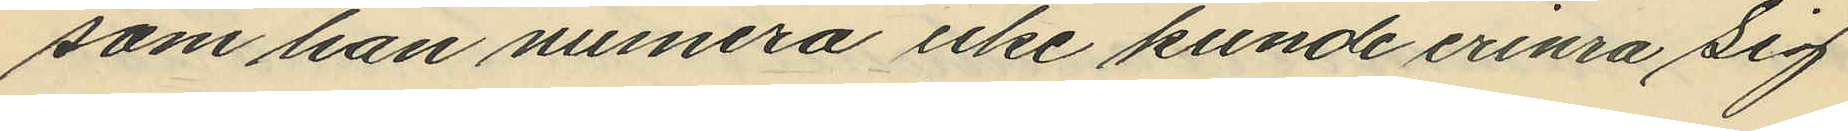som han numera icke kunde erinra sig
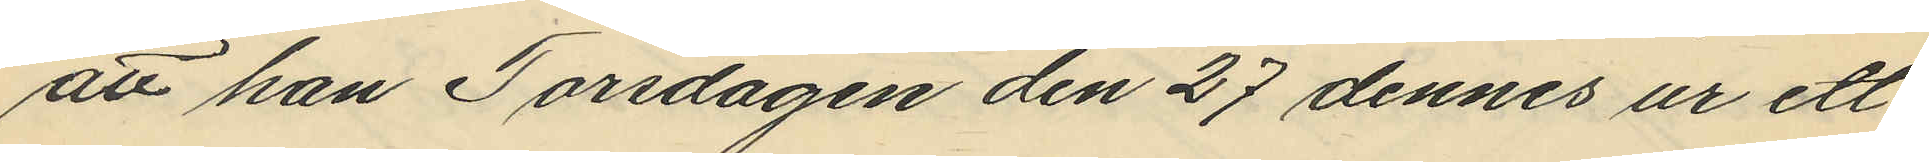att han Torsdagen den 27 dennes ur ett
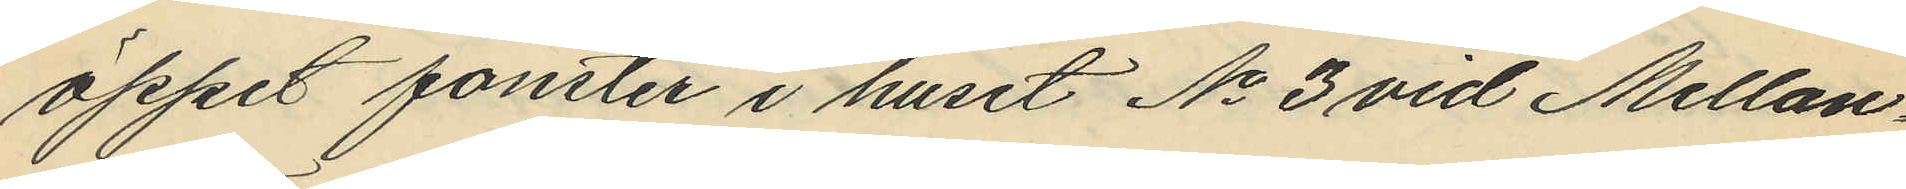öppet fönster i huset No 3 vid Mellan¬
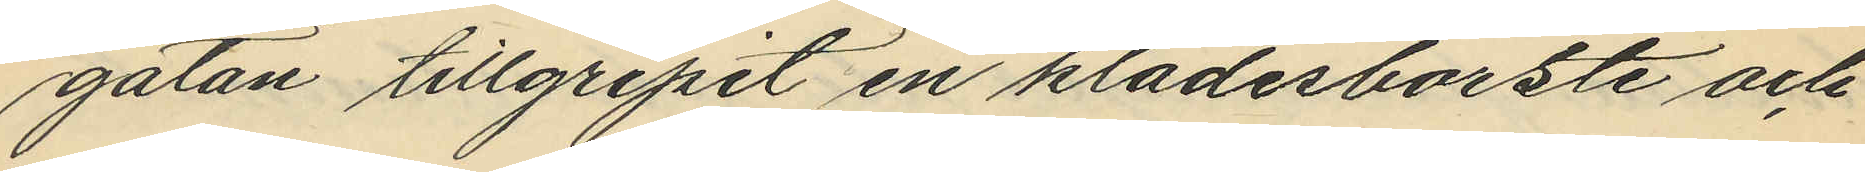gatan tillgripit en klädesborste och
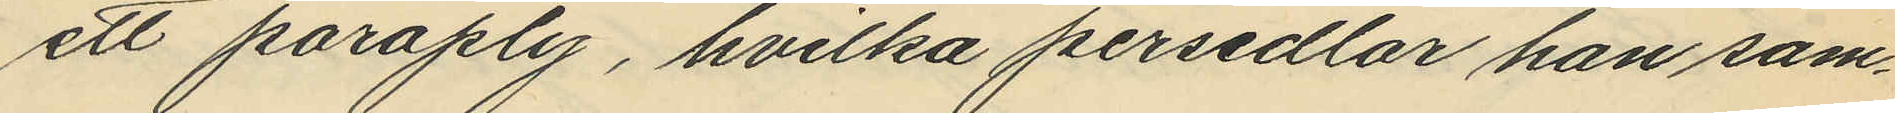ett paraply, hvilka persedlar han sam¬
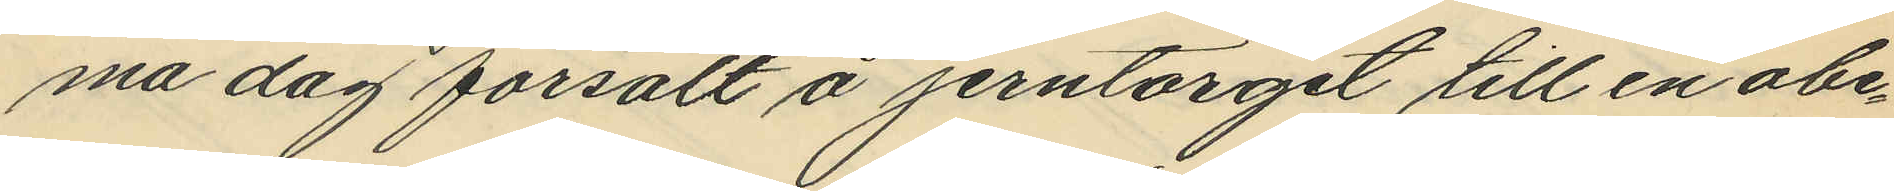ma dag försålt å jerntorget till en obe¬
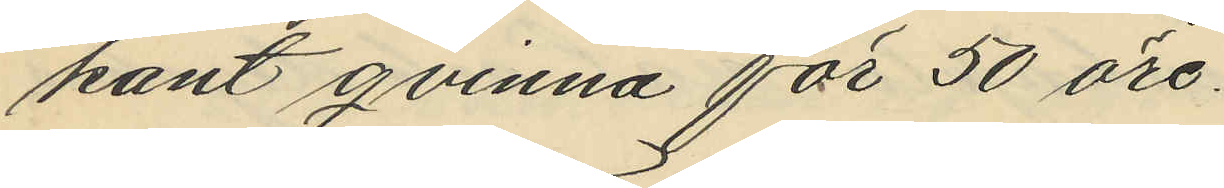kant qvinna för 50 öre.
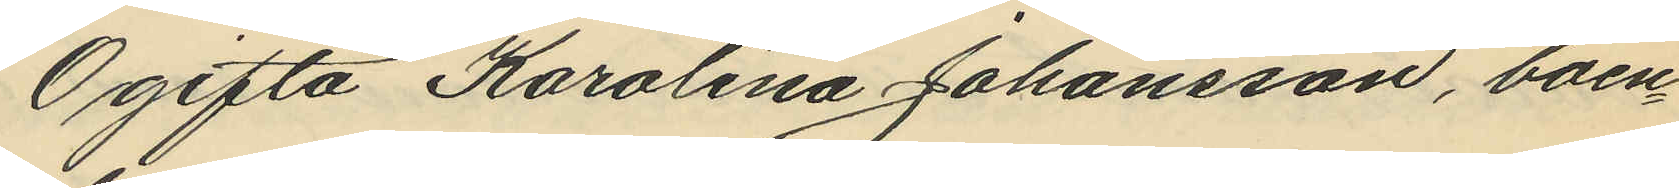Ogifta Karolina Johansson, boen¬
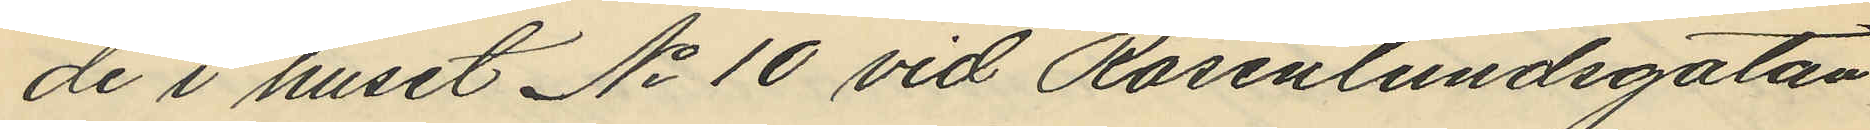de i huset No 10 vid Rosenlundsgatan
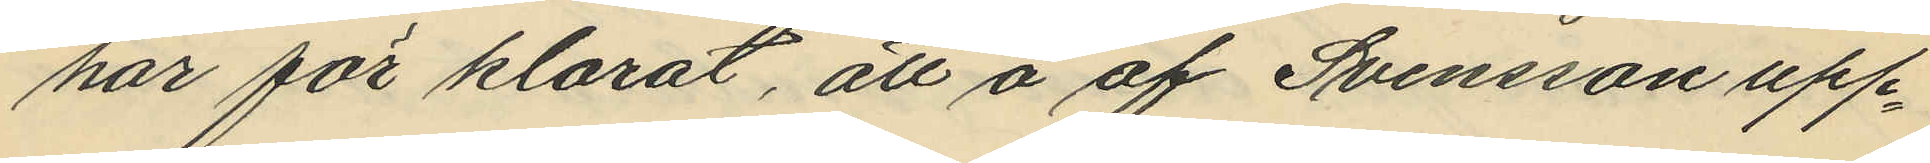har förklarat, att å af Svensson upp¬
